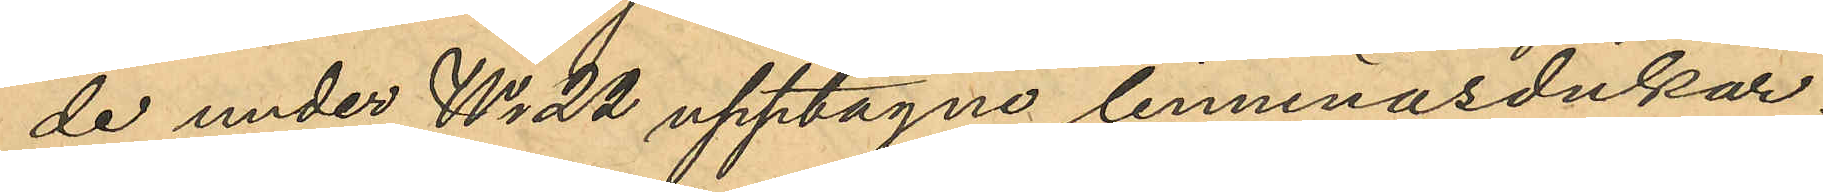de under No 22 upptagne linnenäsdukar;
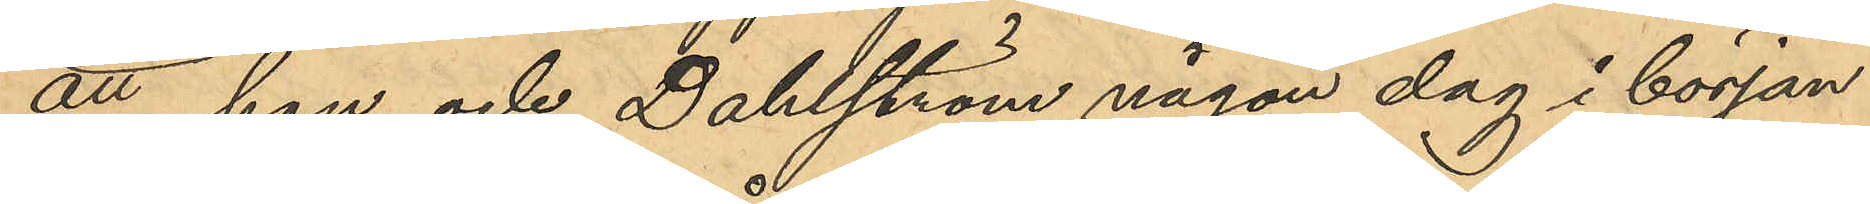att hon och Dahlström någon dag i början
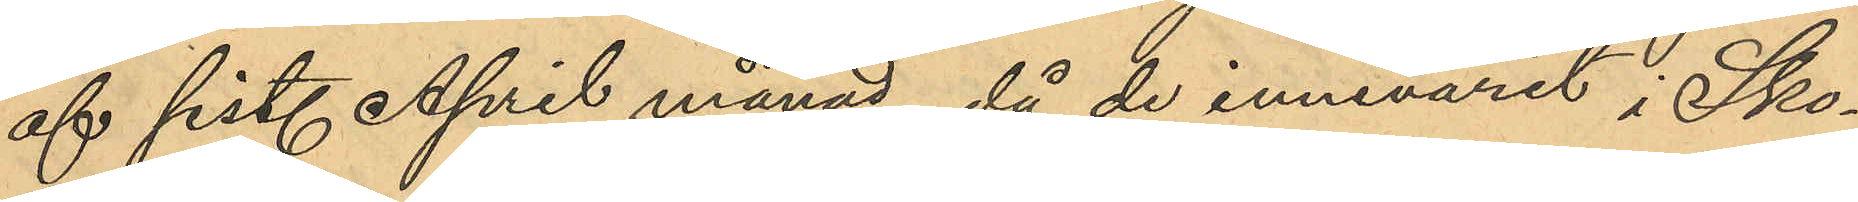af sist. April månad, då de innevarit i Sko¬
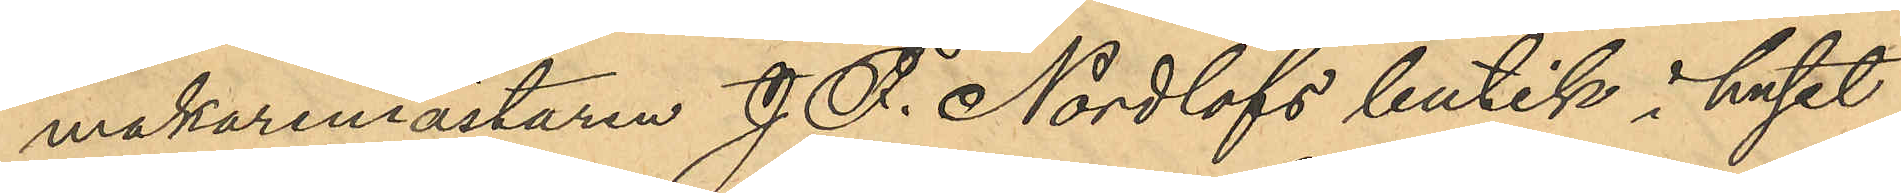makaremästaren J. F. Nordlöfs butik i huset
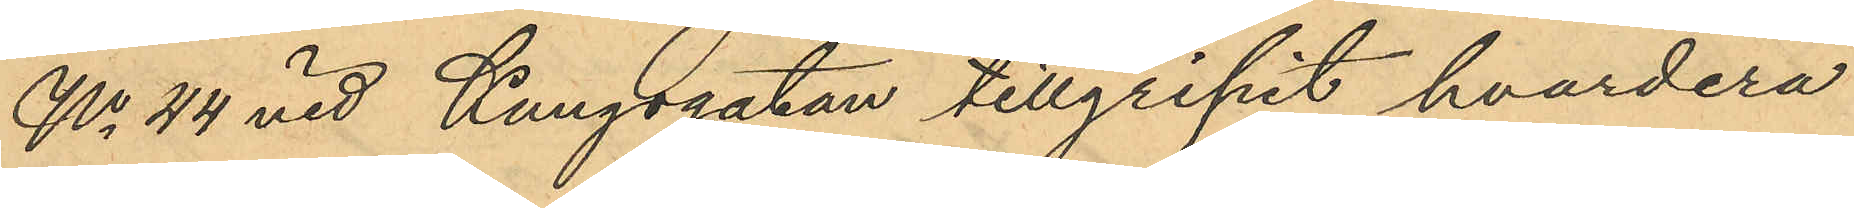No 44 vid Kungsgatan tillgripit hvardera
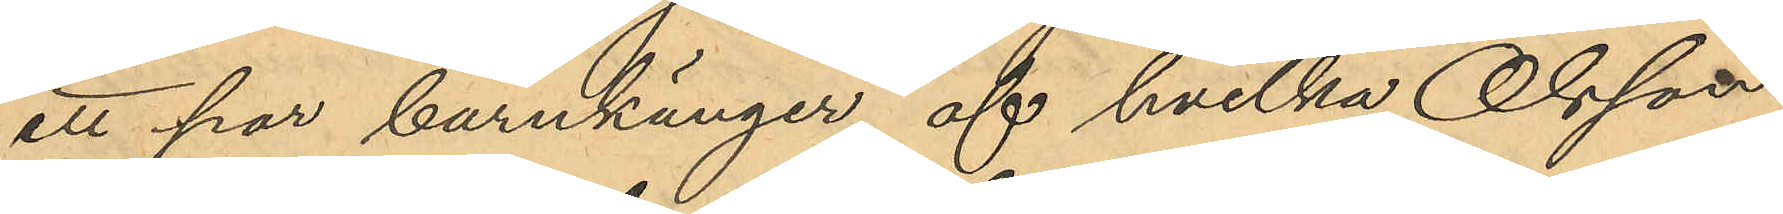ett par barnkänger, af hvilka Olsson
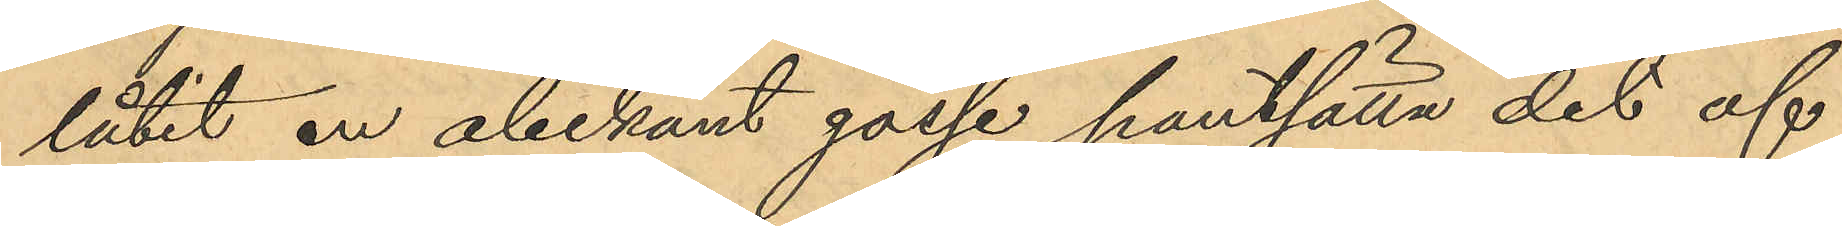låtit en obekant gosse pantsätta det af
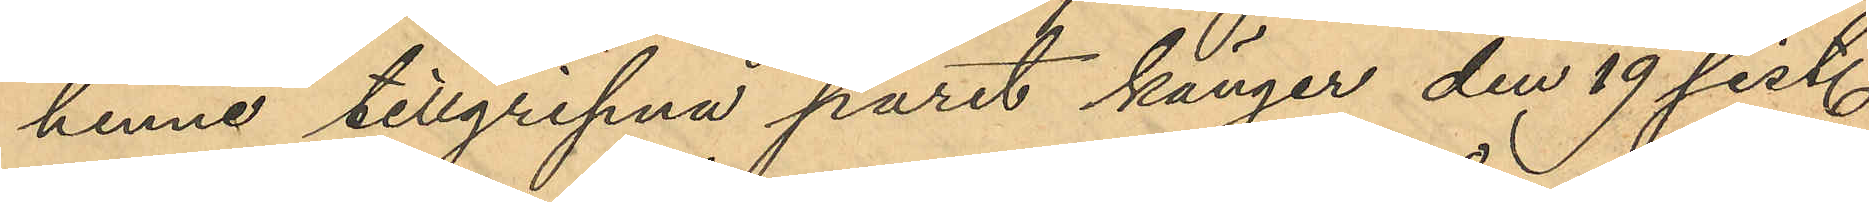henne tillgripna paret känger den 19 sist.
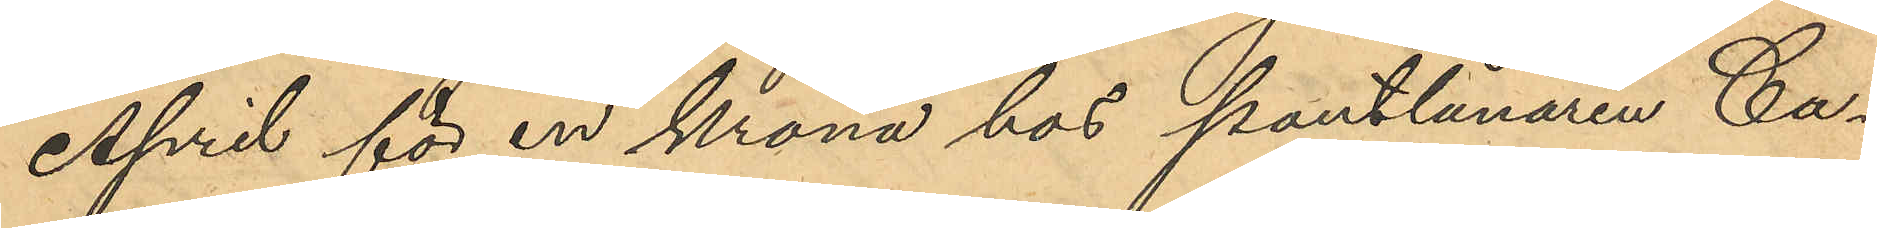April för en krona hos pantlånaren Ca¬
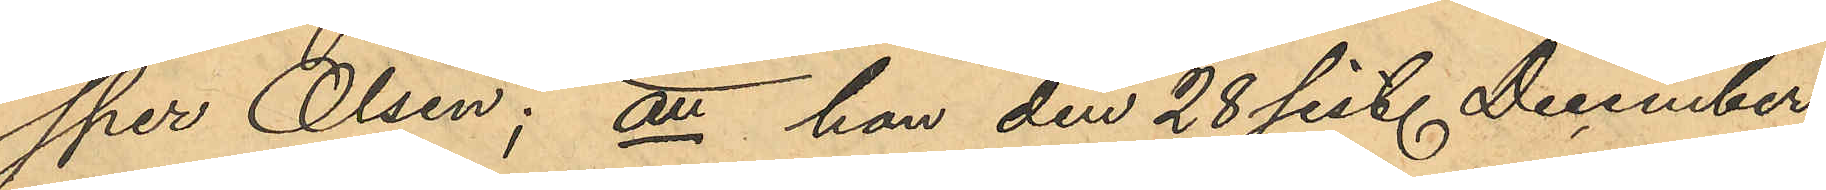sper Olsen; att hon den 28 sist. December
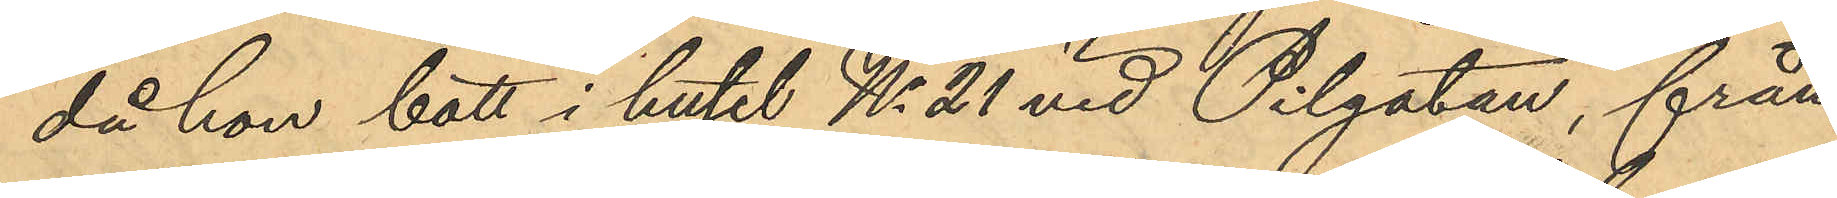då hon bott i huset No 21 vid Pilgatan, från
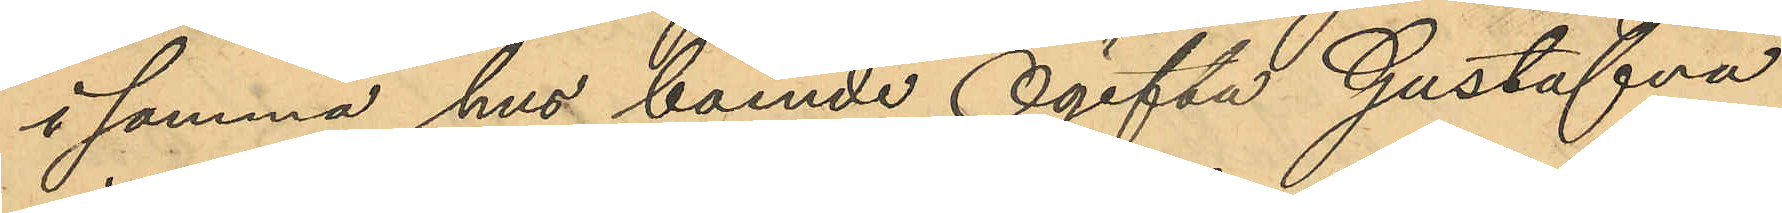i samma hus boende Ogifta Gustafva
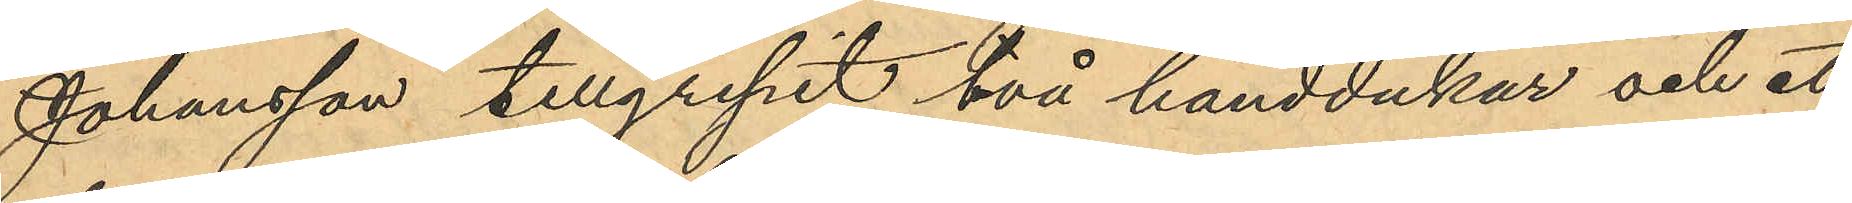Johansson tillgripit två handdukar och ett
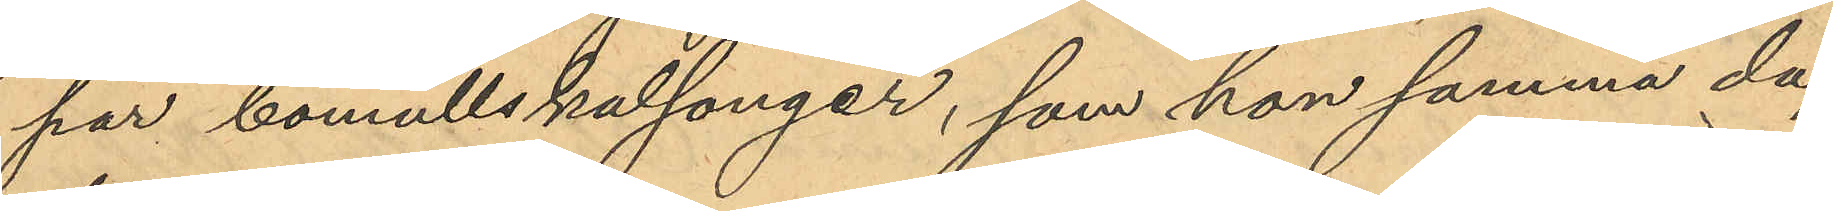par bomullskalsonger, som hon samma dag
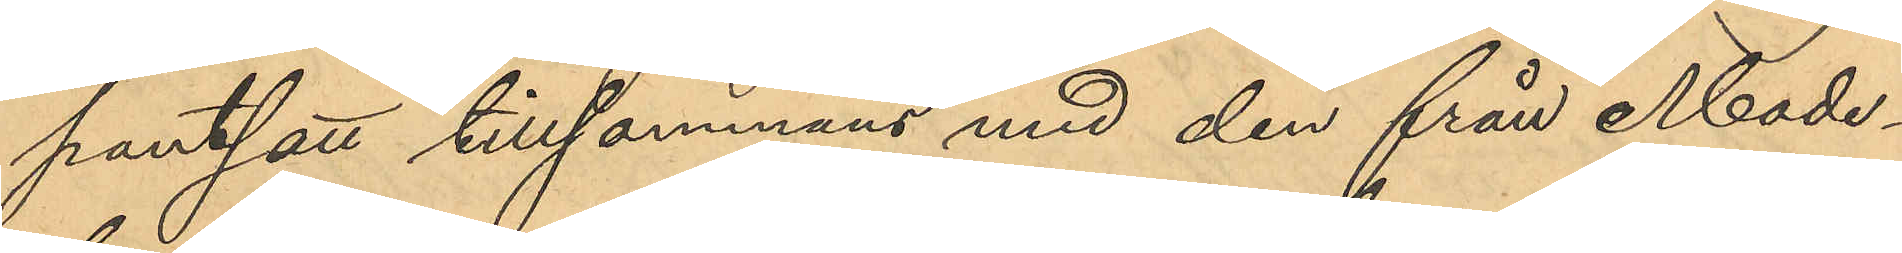pantsatt tillsammans med den från Mode¬
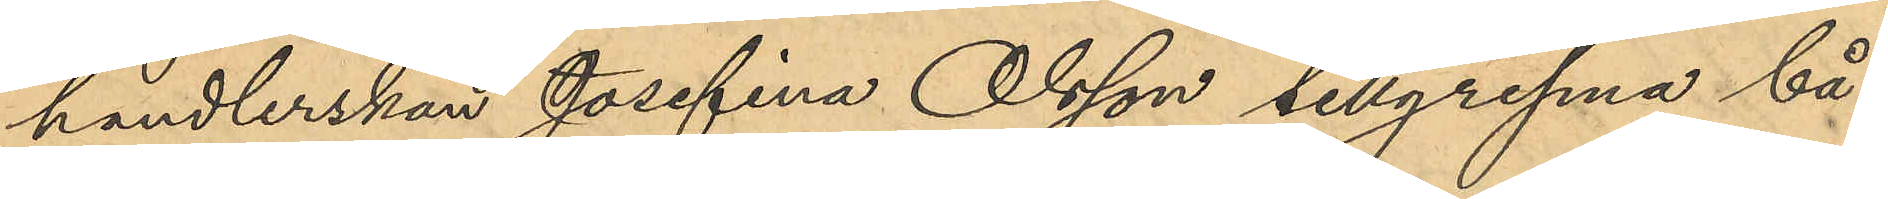handlerskan Josefina Olsson tillgripna bå¬
